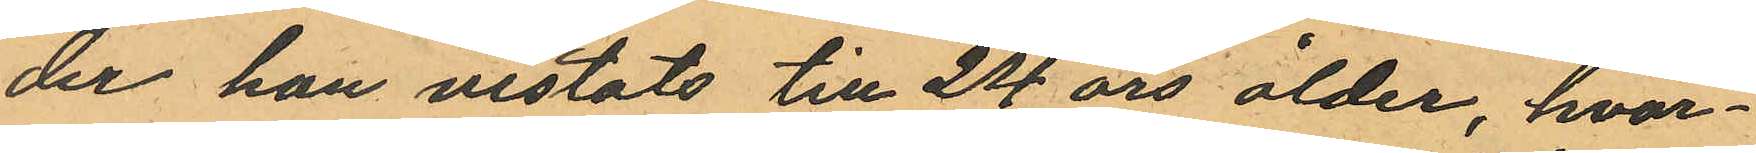der han vistats till 24 års ålder, hvar¬
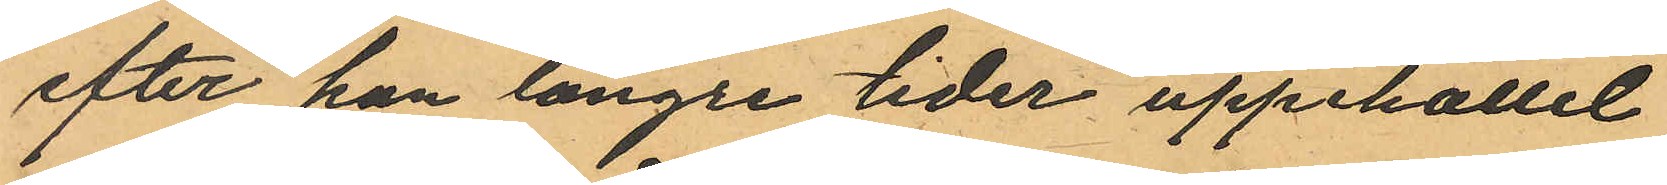efter han längre tider uppehållit
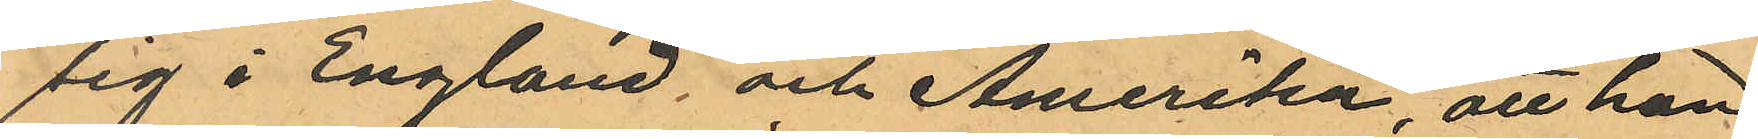sig i England, och Amerika, att han
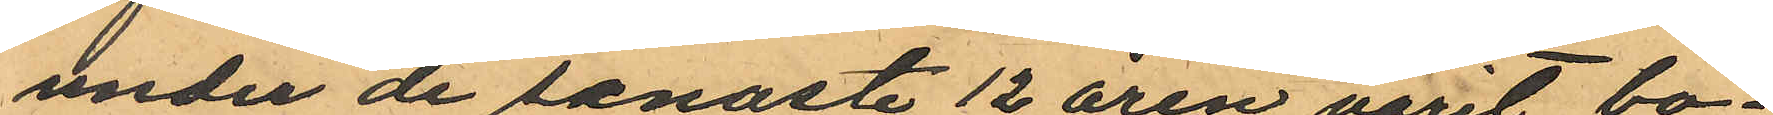under de senaste 12 åren varit bo¬
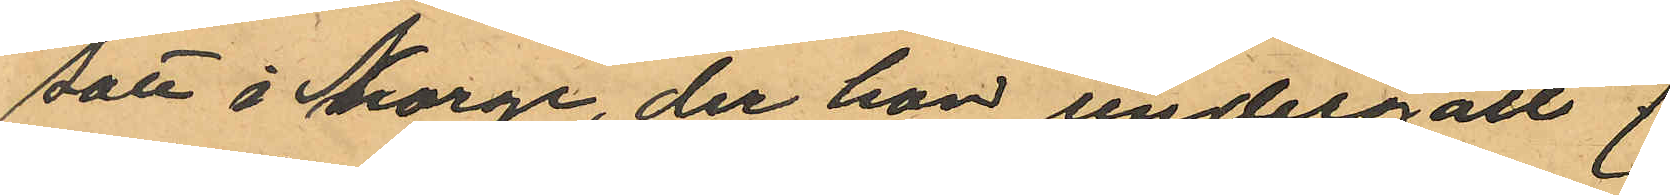sätt i Norge, der han undergått 7
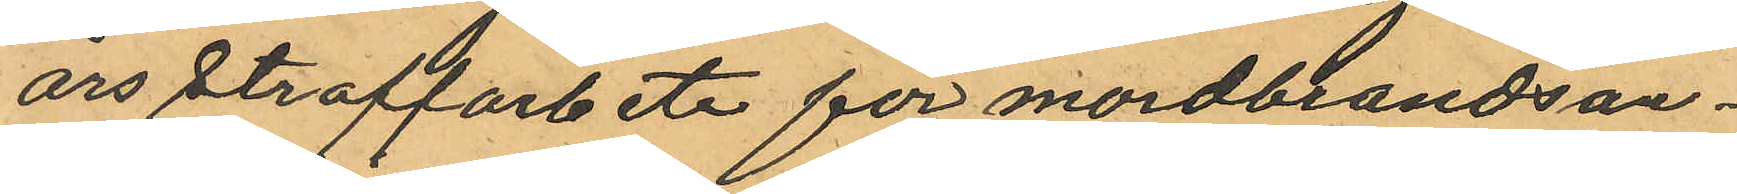års straffarbete för mordbrandsan¬
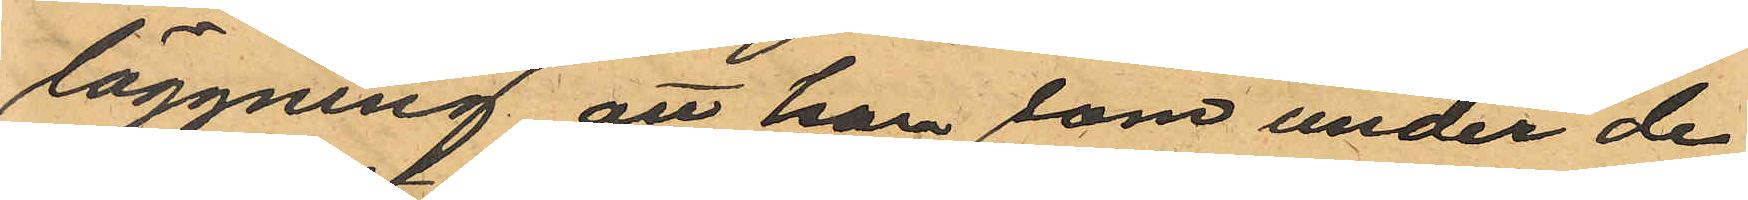läggning, att han som under de
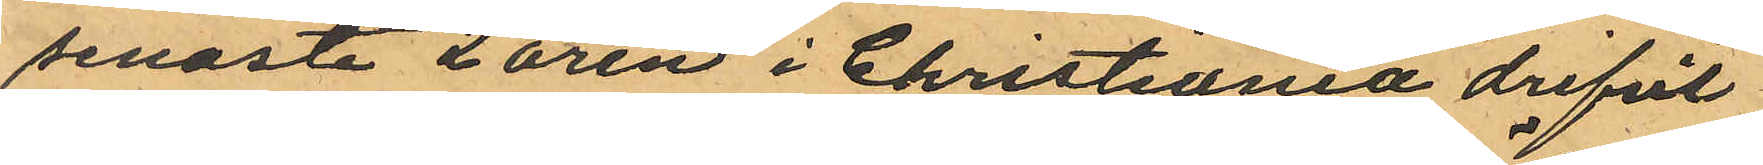senaste 2 åren i Christiania drifvit
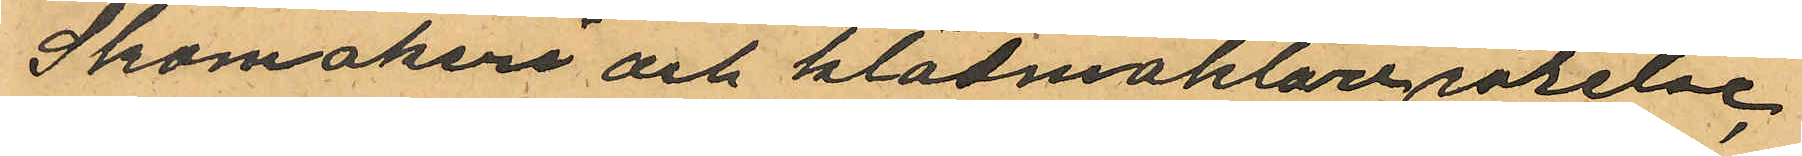Skomakeri och klädmäklarerörelse,
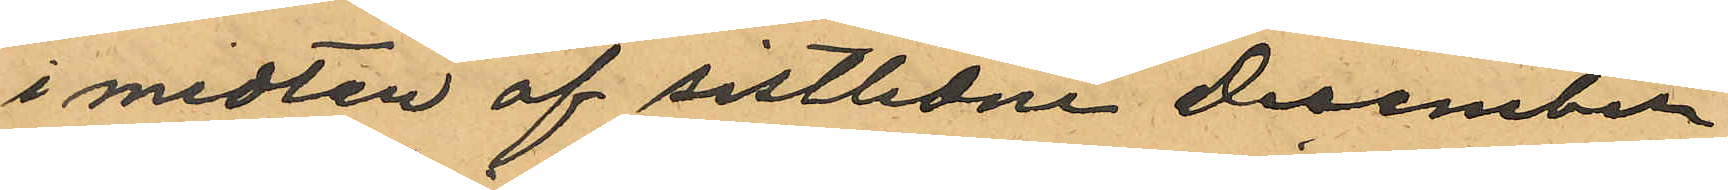i midten af sistlidne December
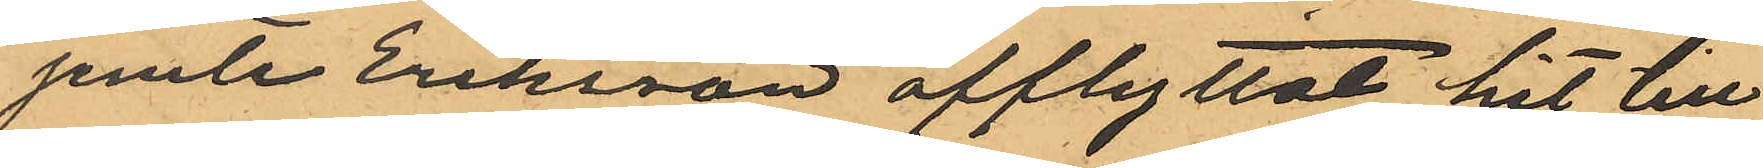jemte Eriksson afflyttat hit till
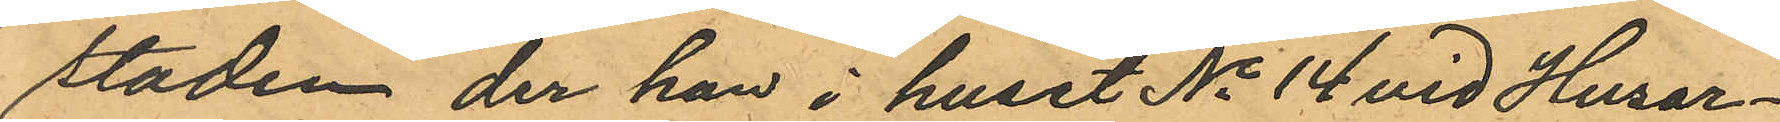staden, der han i huset No 14 vid Husar¬
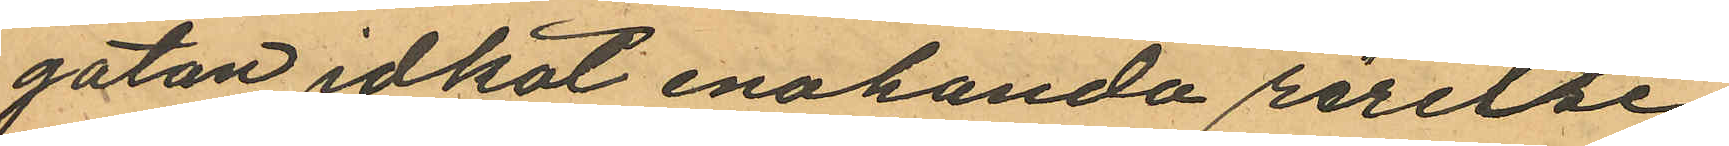gatan idkat enahanda rörelse;
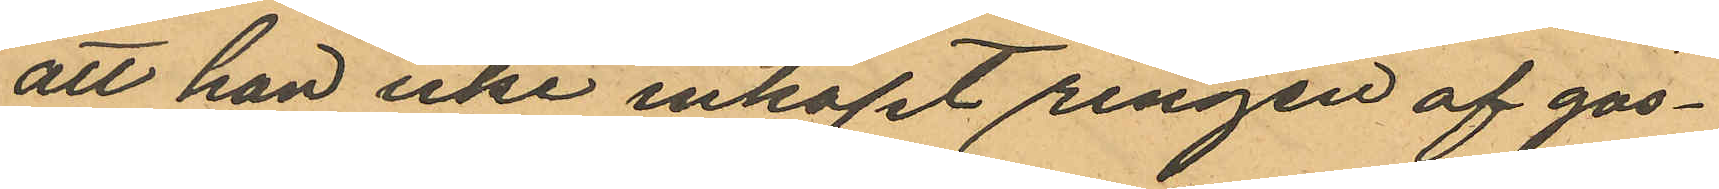att han icke inköpt ringen af gos¬
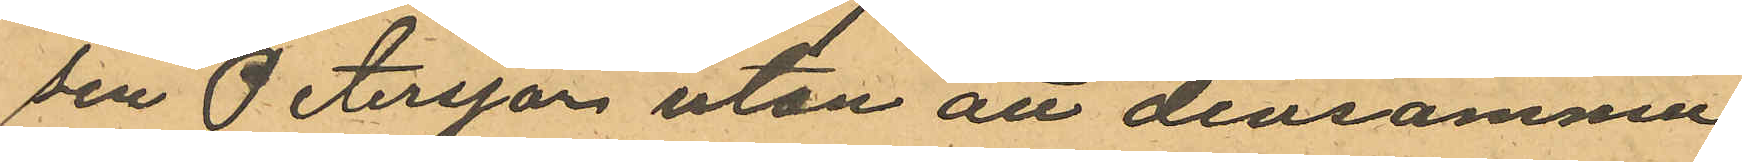sen Petersson utan att densamme
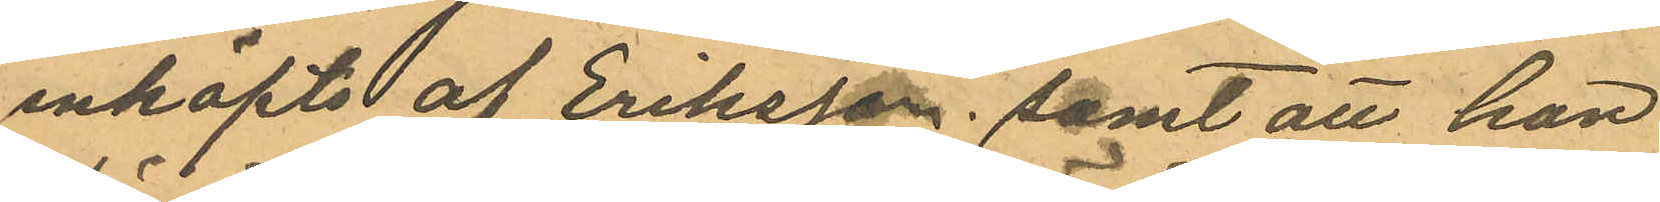inköpts af Eriksson; samt att han
